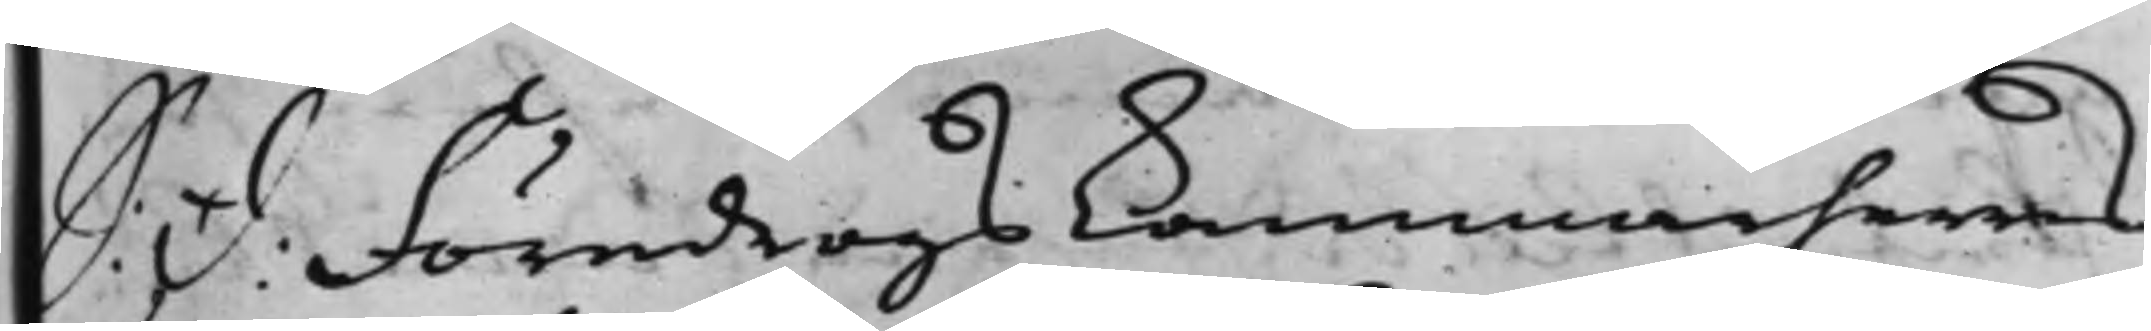S: D: Föredrogs Kammarherrns
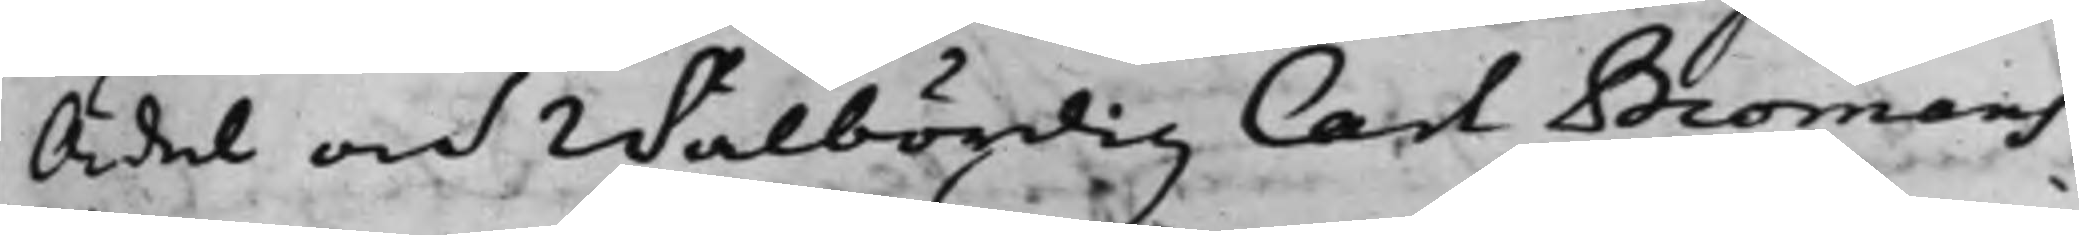Ädel och Wälbördig Carl Bromans
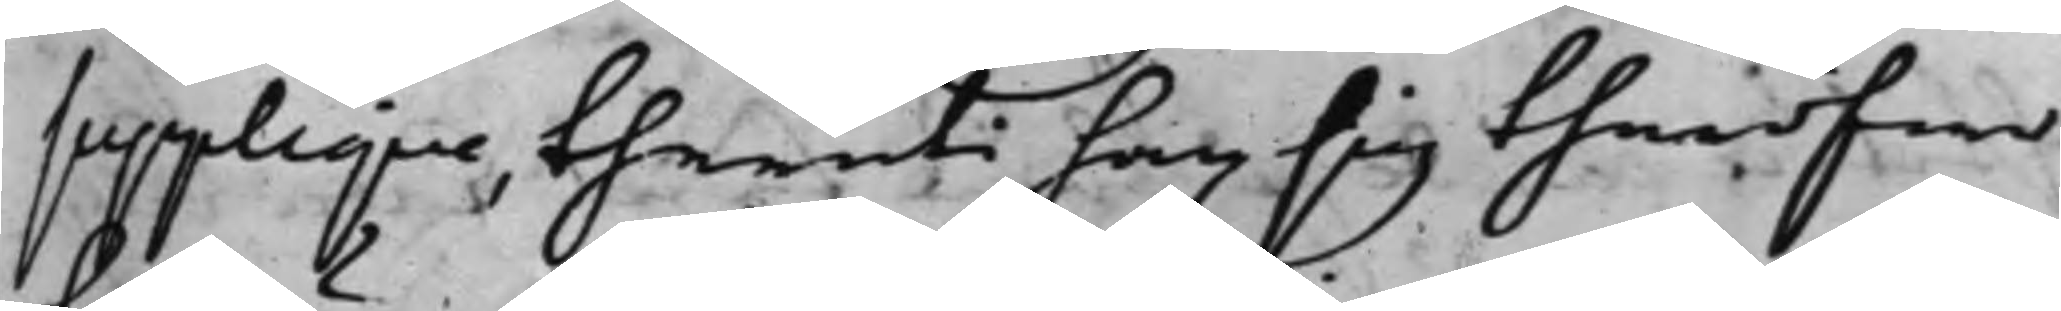Supplique, theruti han sig thäröfwer
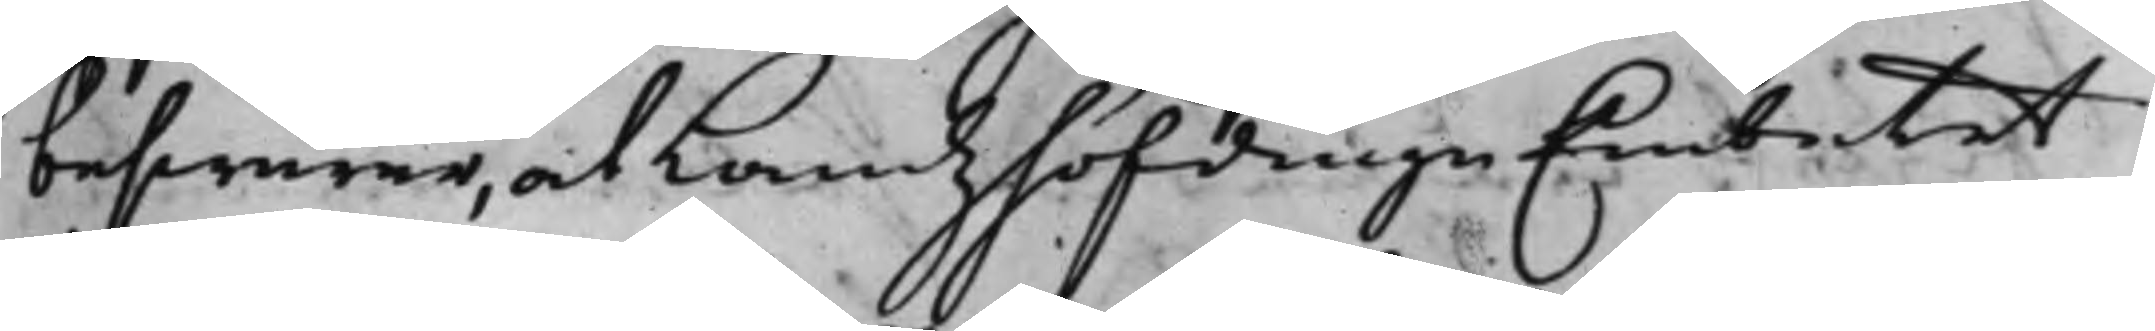beswärar, at LandzhöfdingeEmbetet
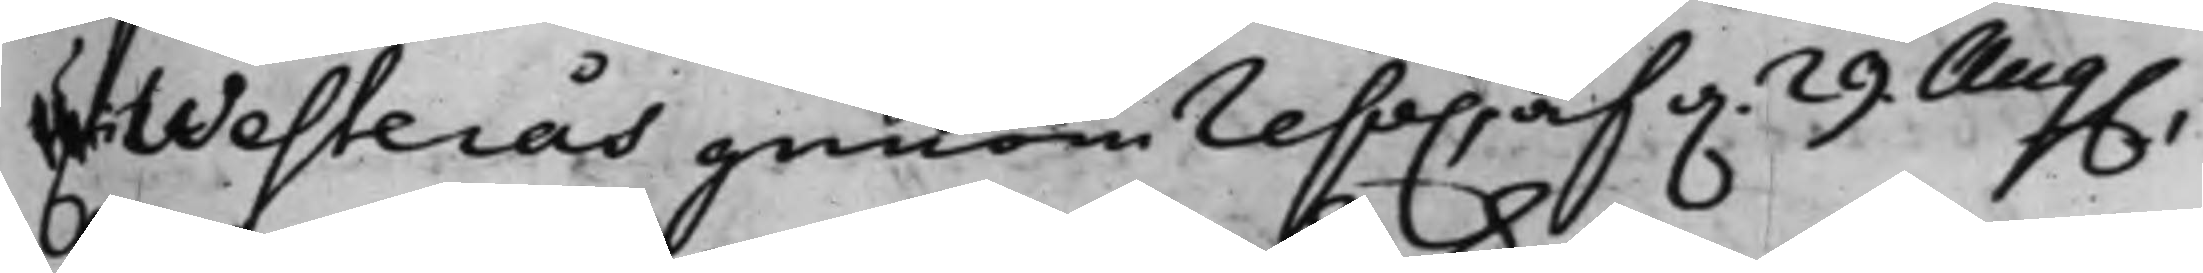U.Westerås genom reso.,af d. 29 Aug.,
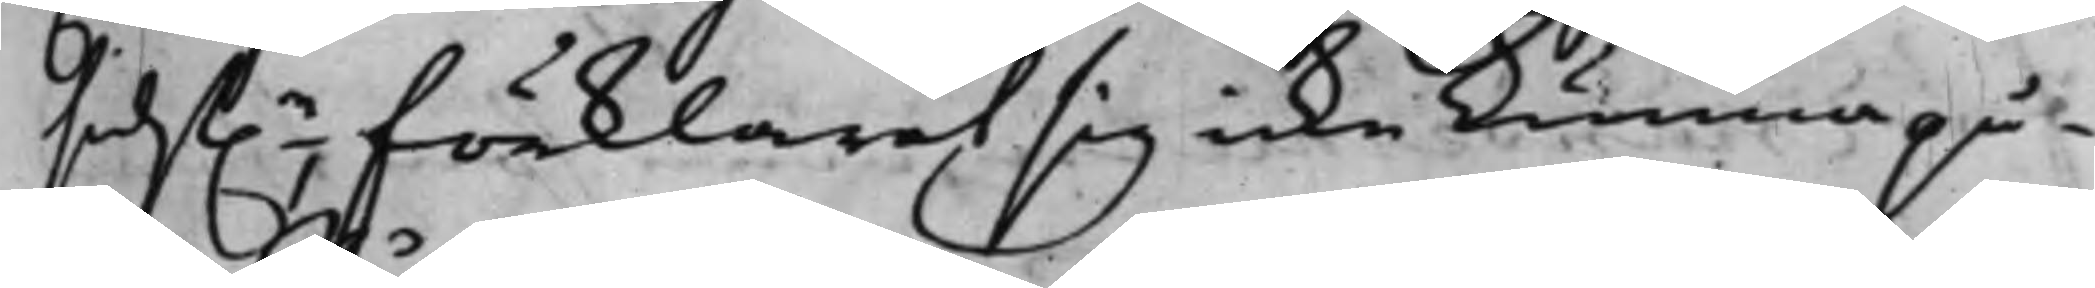sidst.e förklarat sig icke kunna på¬
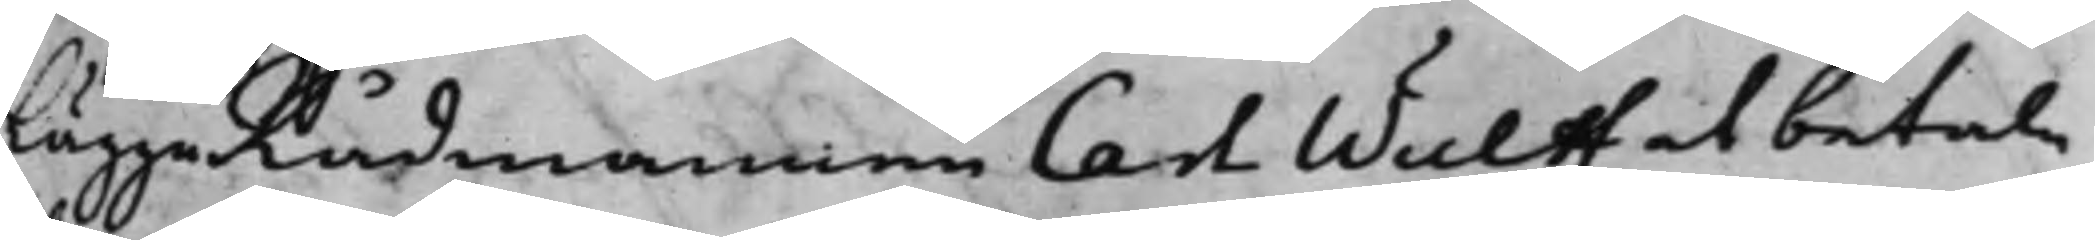lägga Rådmannen Carl Wulff at betala
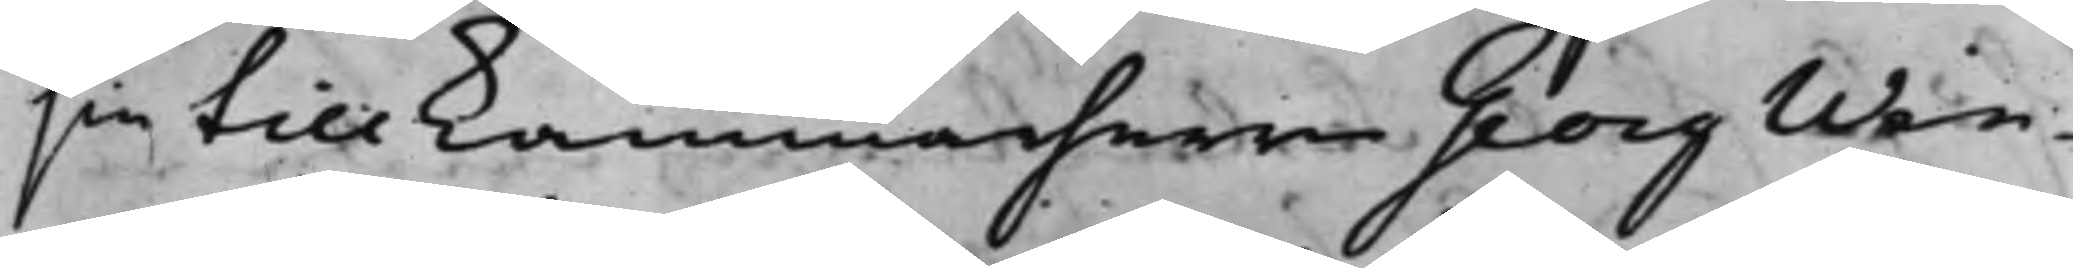sin till Kammarherrn Georg Win¬
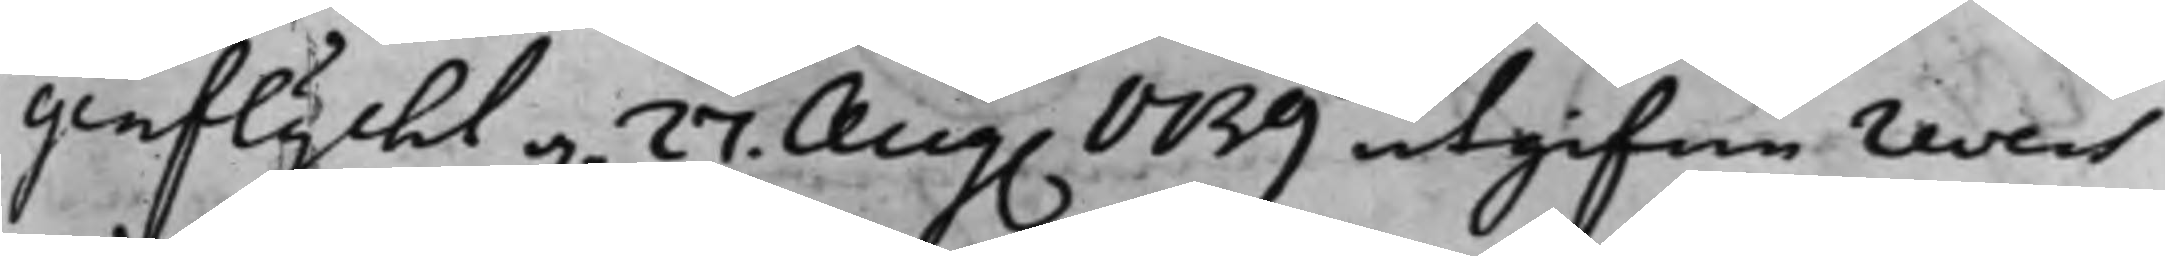genflycht d. 27. Aug. 1739 utgifne revers
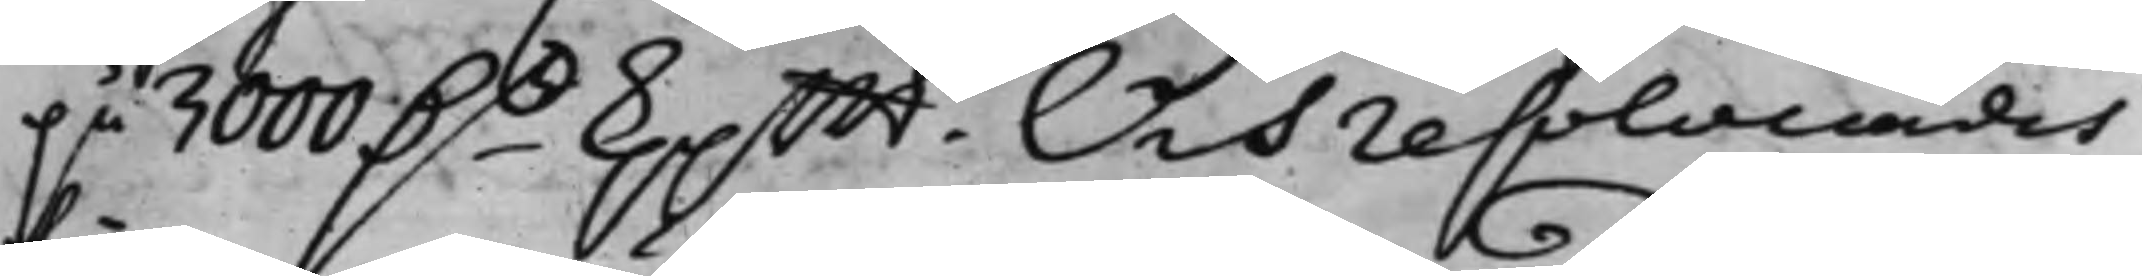på 3000 D.r kppmt. Och resolverades
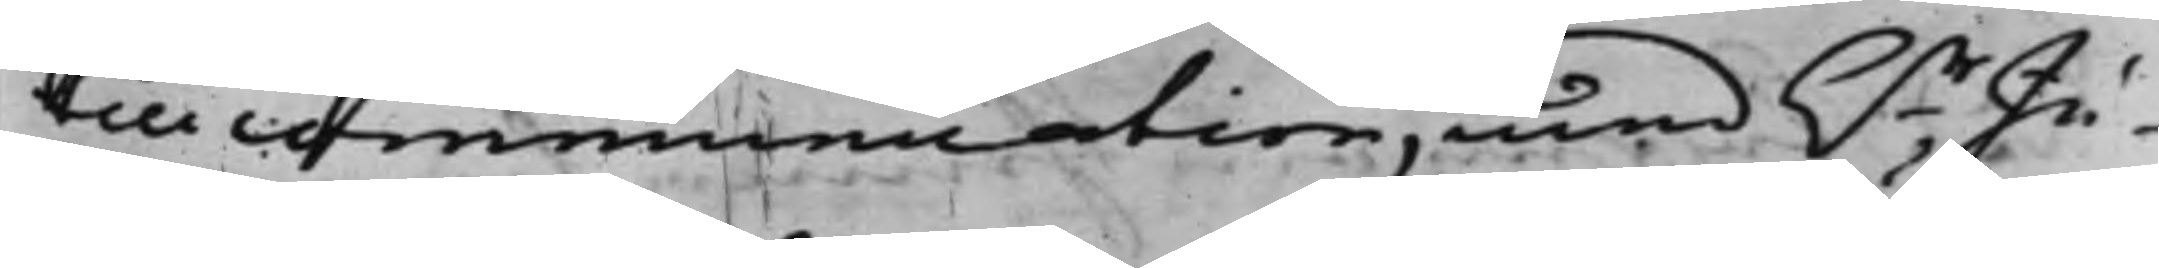till communication, med hr Ju¬
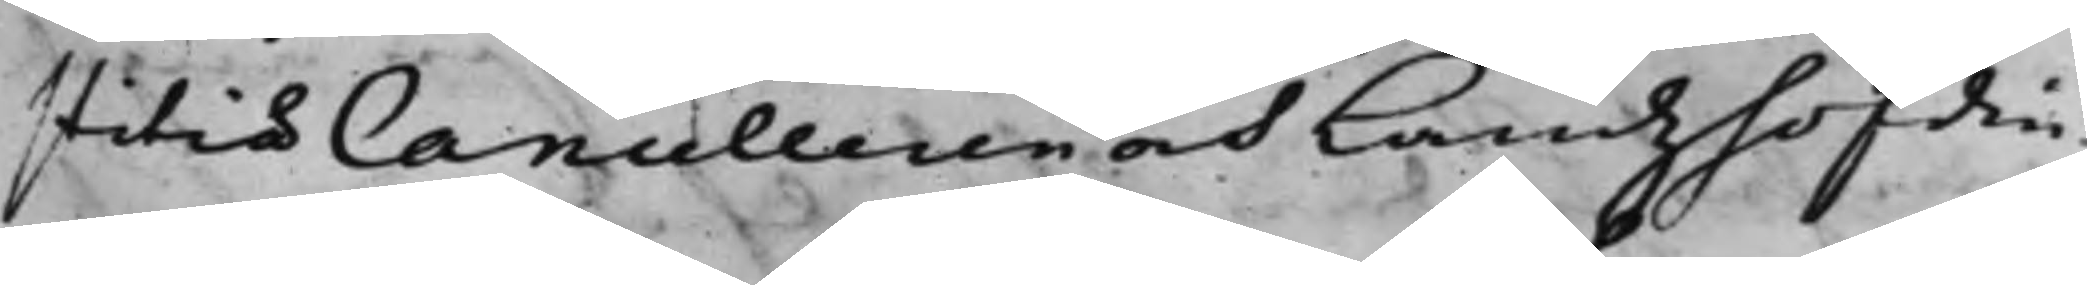stitiæ Cancelleren och Landzhöfdin¬
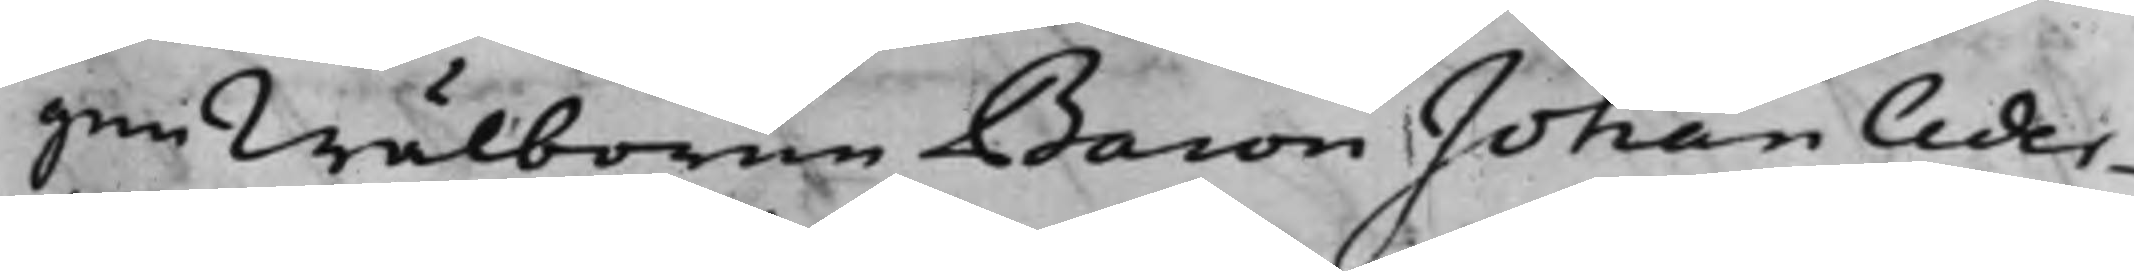gen Wälborne Baron Johan Ceder¬
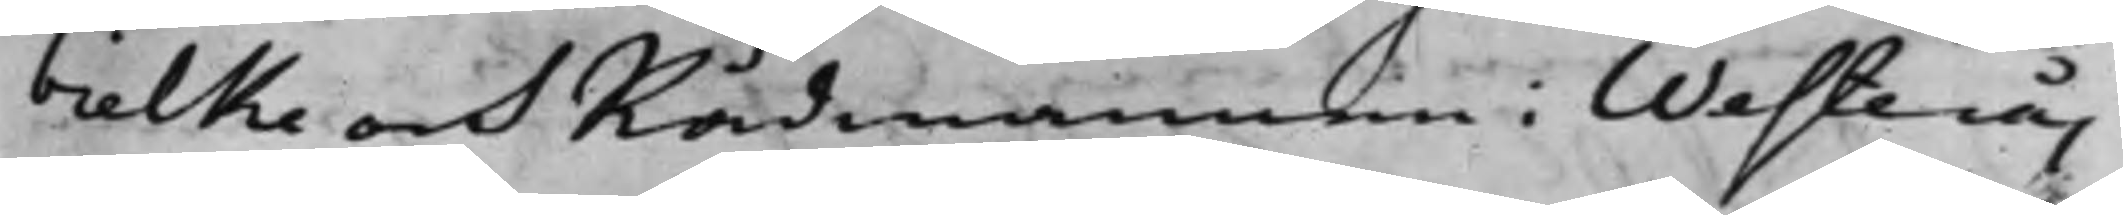bielke och Rådmannen i Westerås
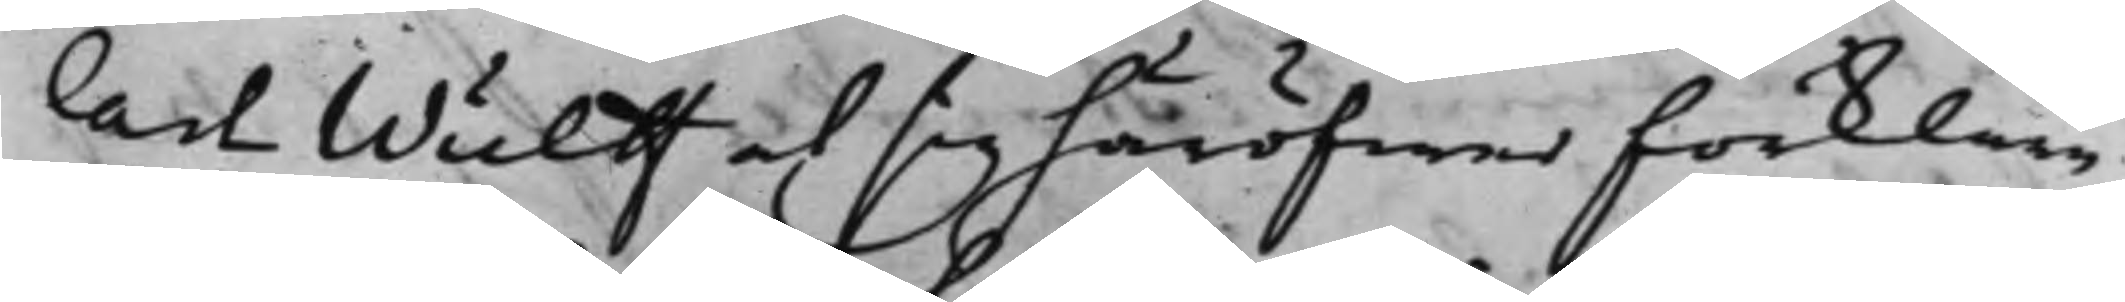Carl Wulff at sig häröfwer förklara
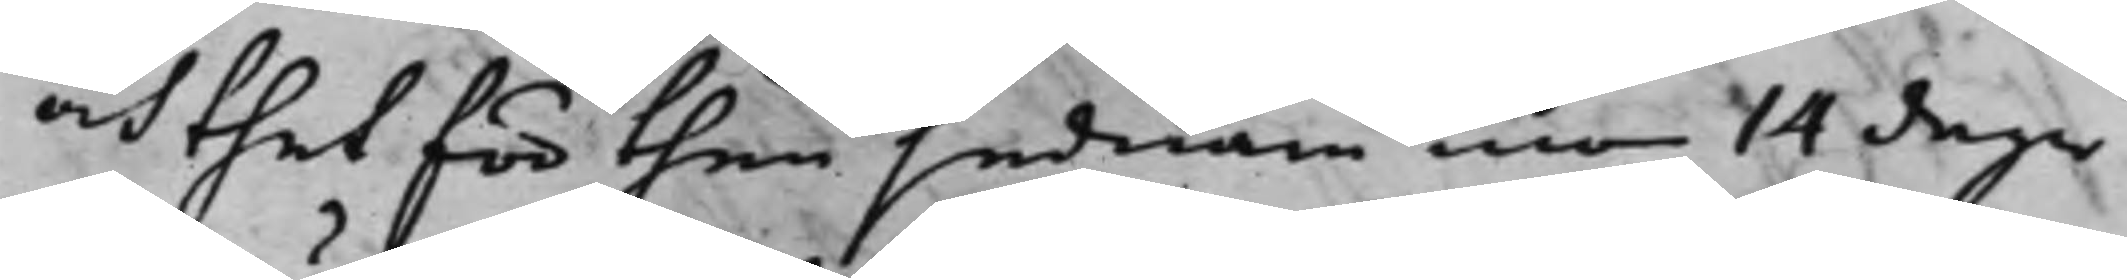och thet för then sednare med 14 dagar
